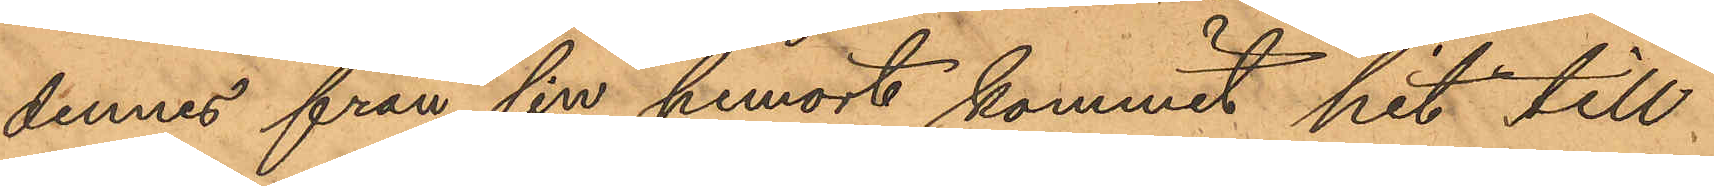dennes från sin hemort kommit hit till¬
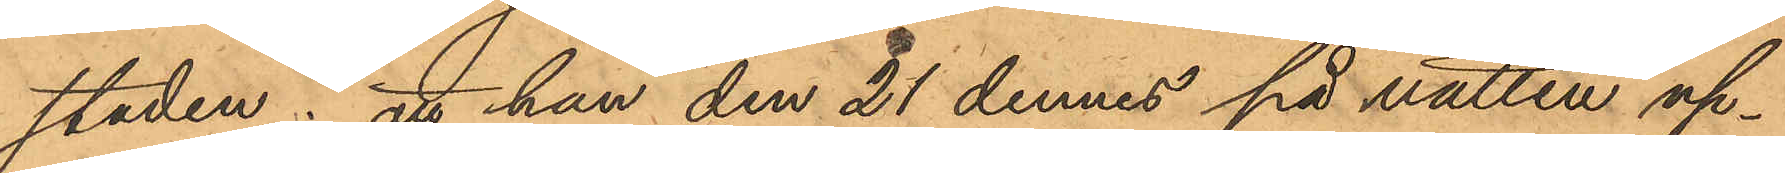staden; att han den 21 dennes på natten up¬
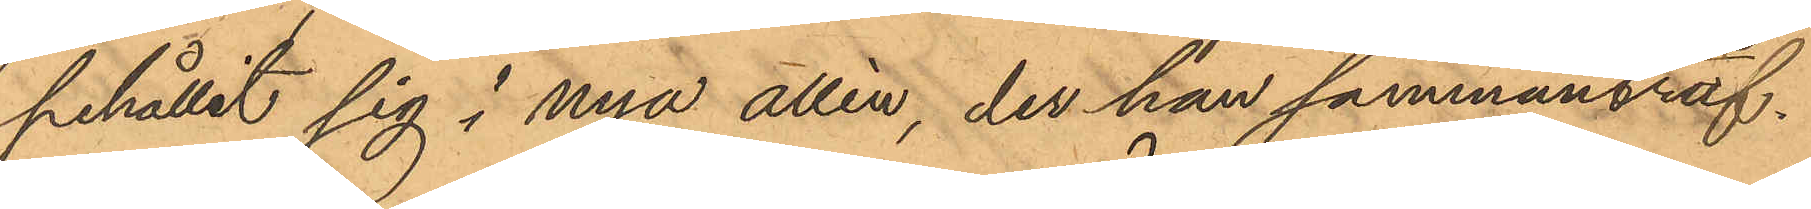pehållit sig i nya allén, der han sammanräf¬
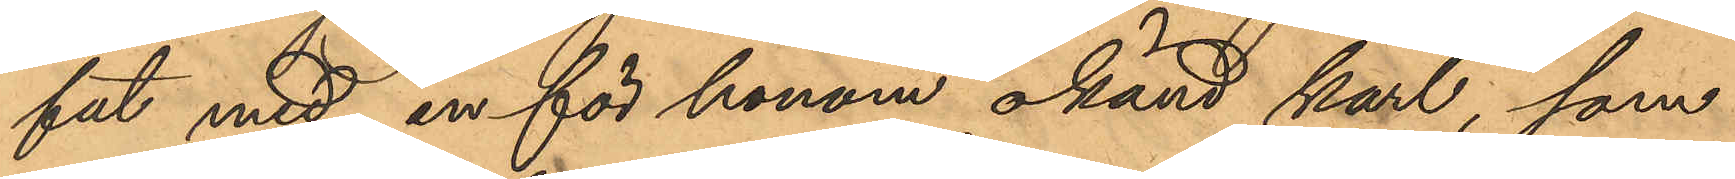fat med en för honom okänd karl, som
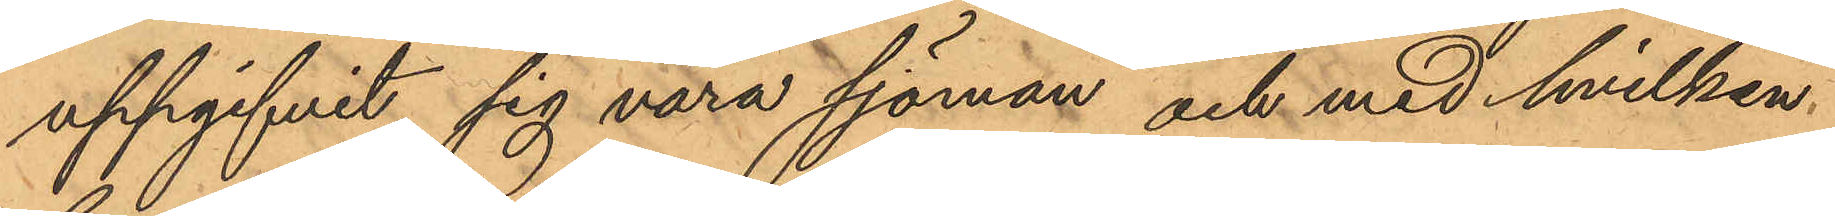uppgifvit sig vara sjöman och med hvilken
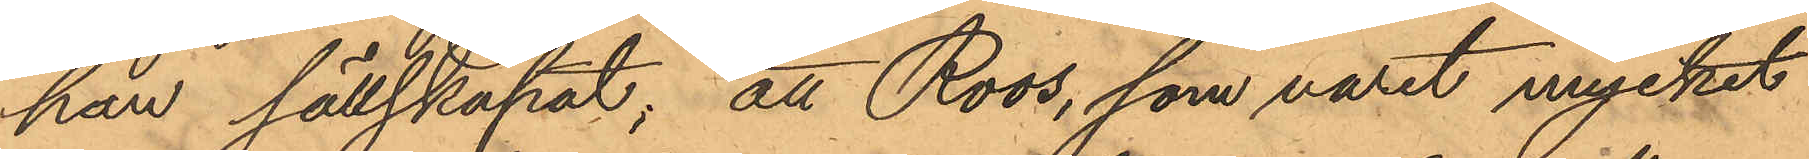han sällskapat; att Roos, som varit mycket
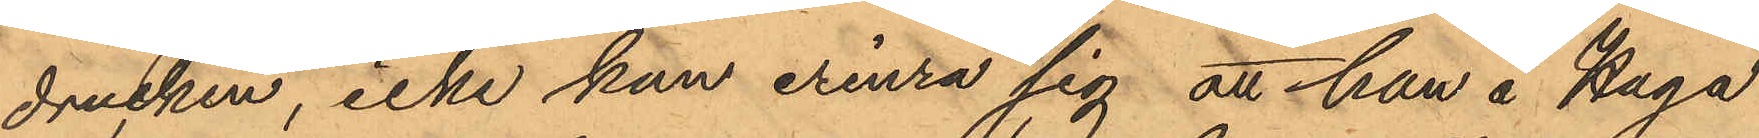drucken, icke kan erinra sig att han å Haga
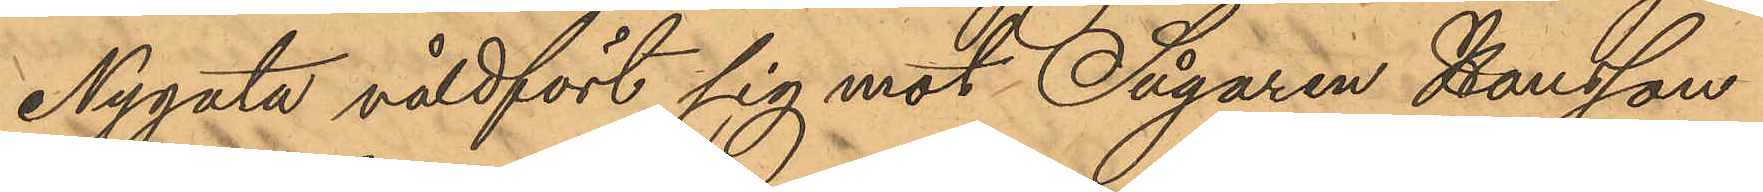Nygata våldfört sig mot Sågaren Hansson
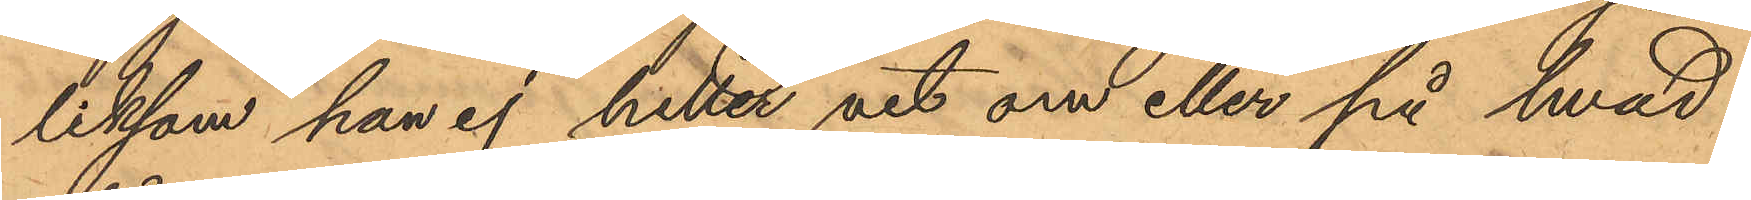liksom han ej hetter vet om eller på hvad
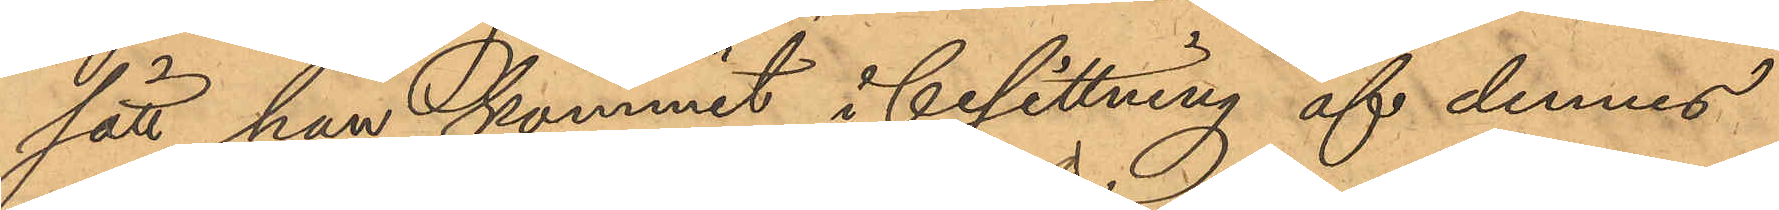sätt han kommit i besittning af dennes
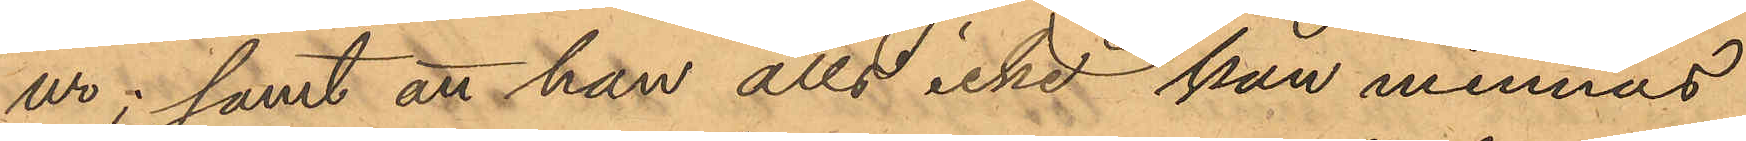ur; samt att han alls icke han minnas
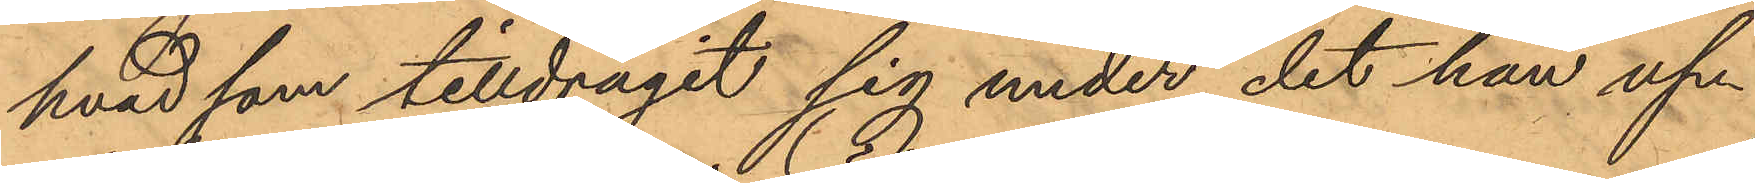hvad som tilldragit sig under det han up¬
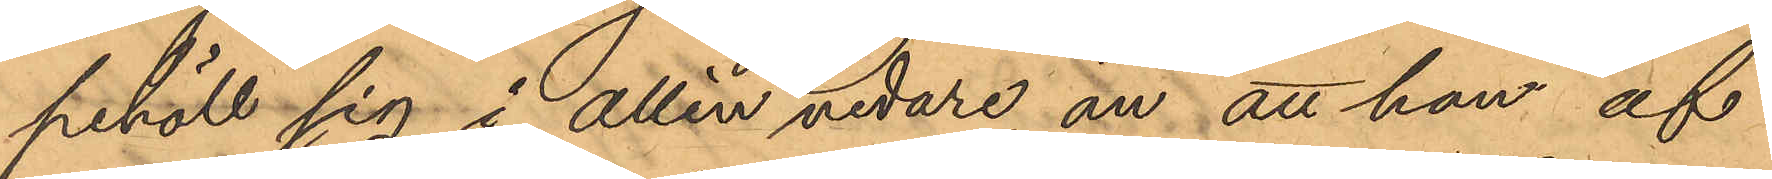pehöll sig i allén vidare än att han af
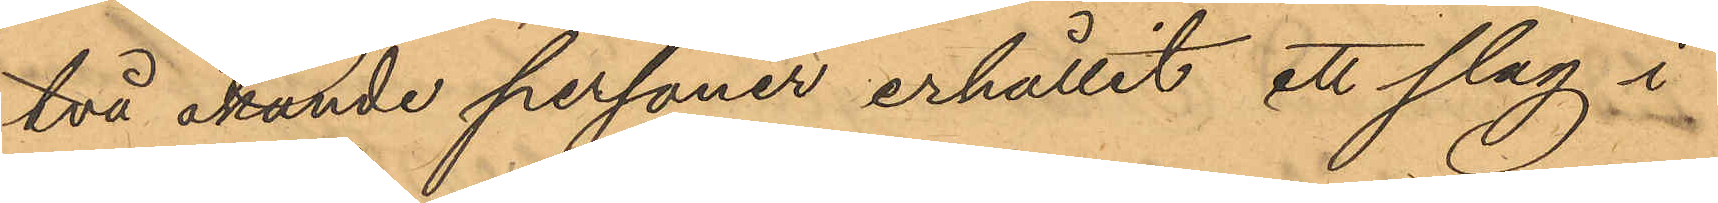två okände personer erhållit ett slag i
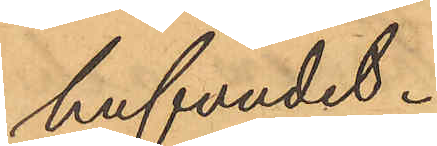hufvudet.
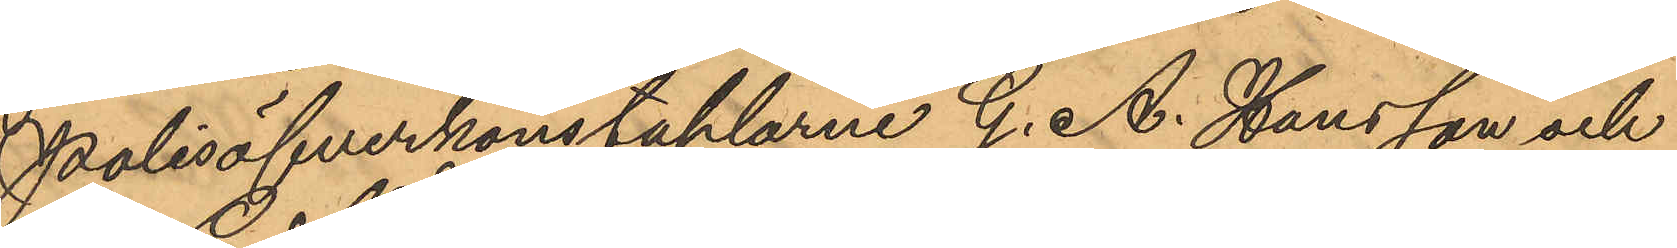Polisöfverkonstaplarne G. A. Hansson och
